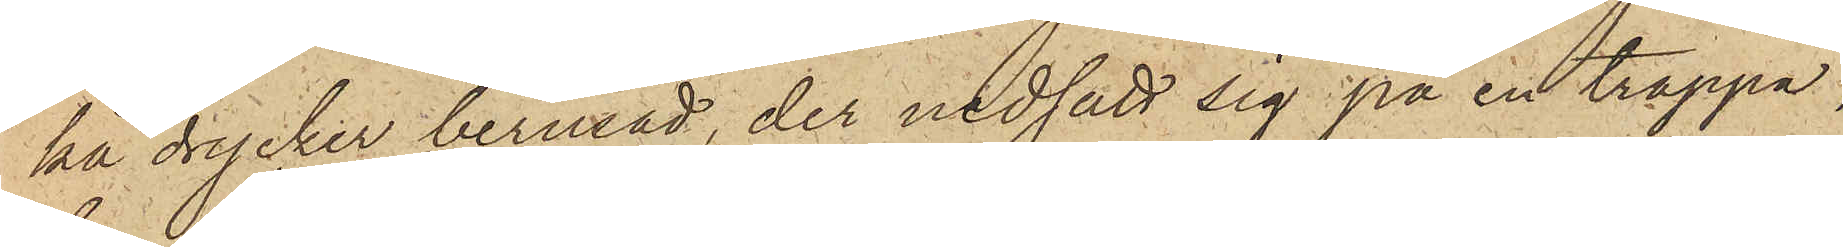ka drycker berusad, der nedsatt sig på en trappa,
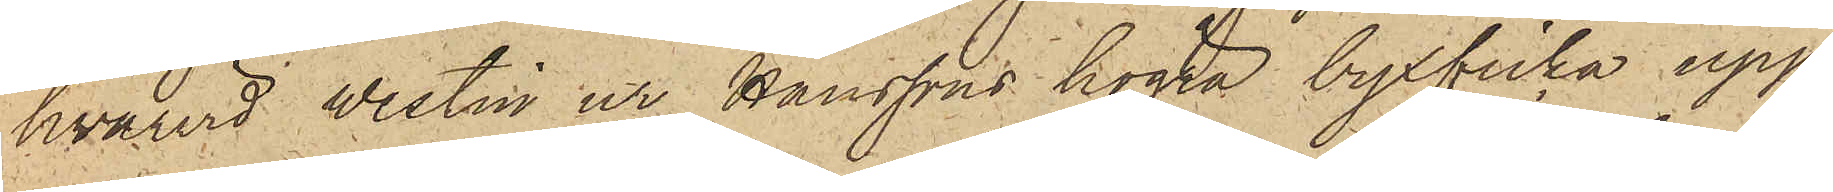hvarvid Westin ur Hanssons högra byxficka upp¬
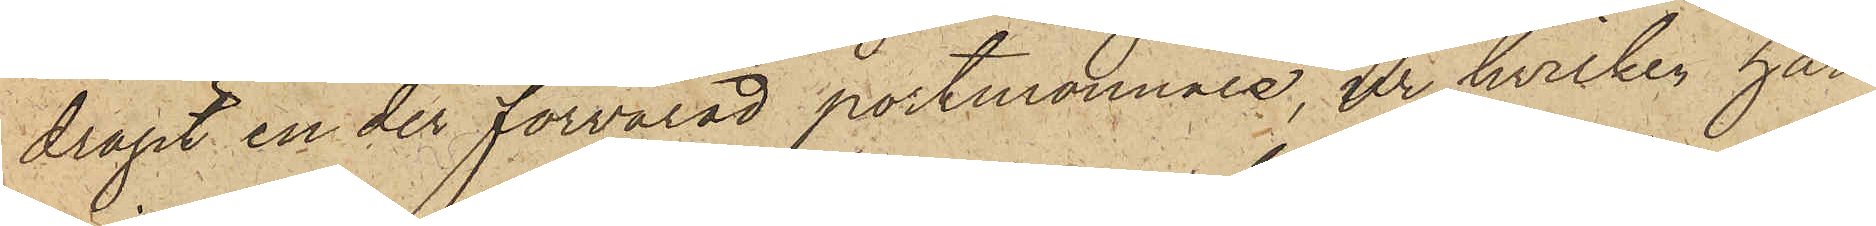dragit en der förvarad portmonnaie, ur hvilken han
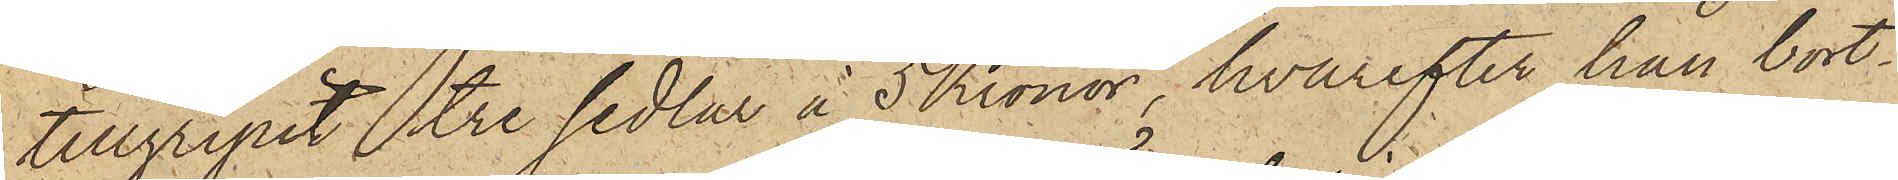tillgripit tre sedlar å 5 Kronor, hvarefter han bort¬
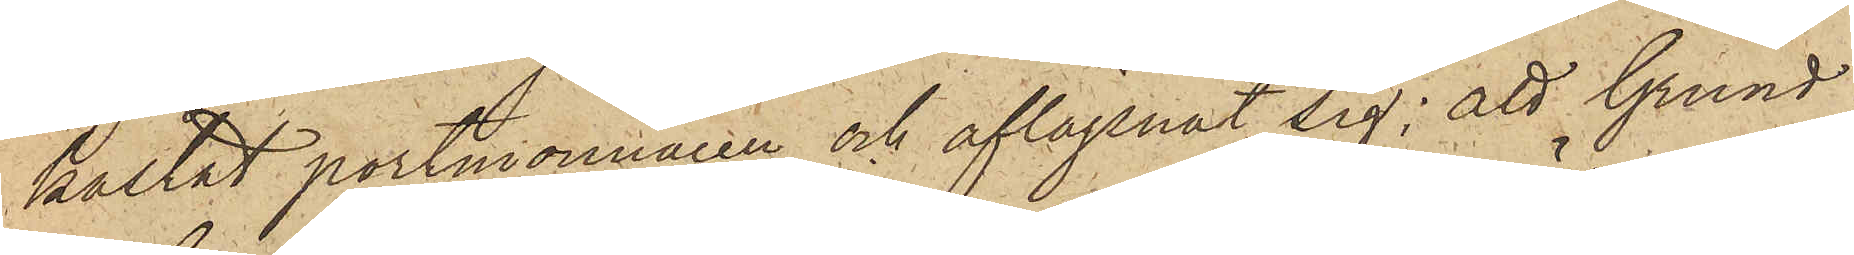kastat portmonnaien och aflägsnat sig; att Grund
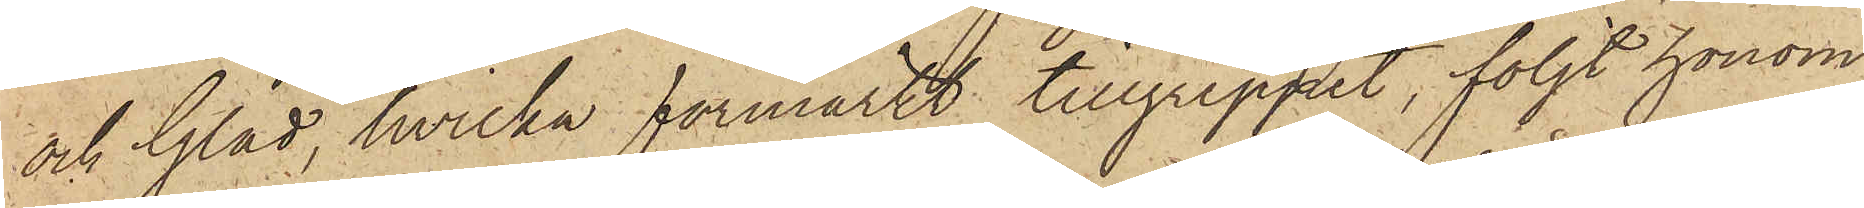och Glad, hvilka förmärkt tillgreppet, följt honom
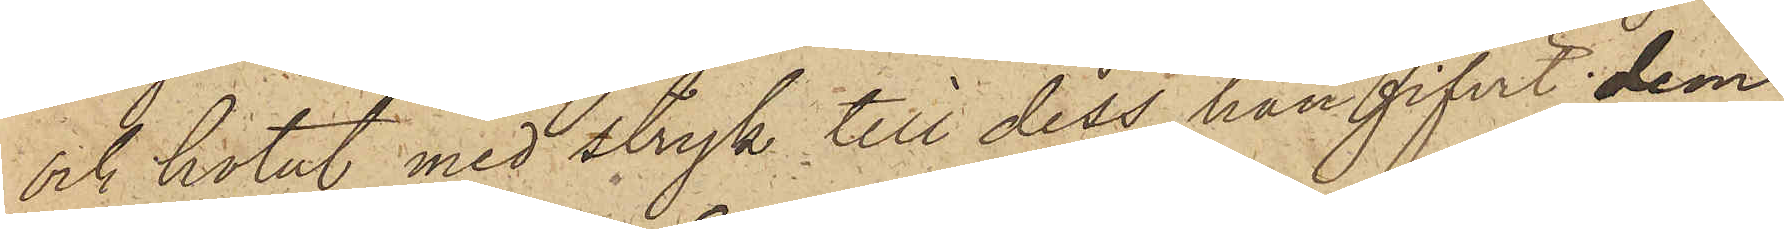och hotat med stryk till dess han gifvit dem
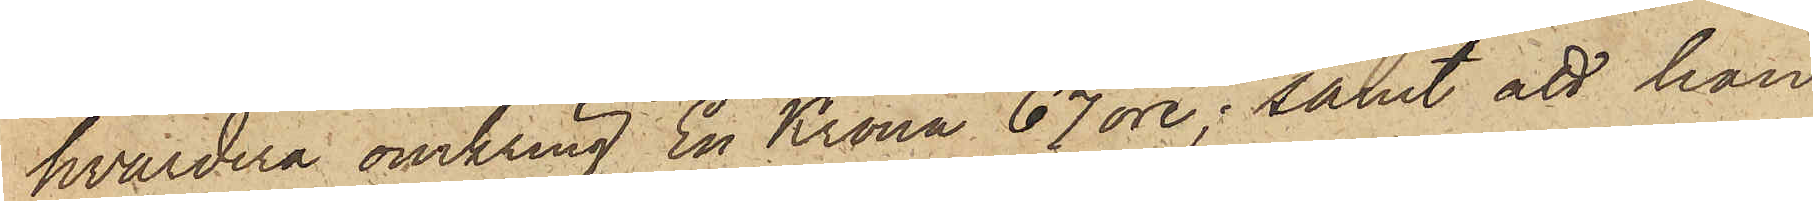hvardera omkring En Krona 67 öre; samt att han
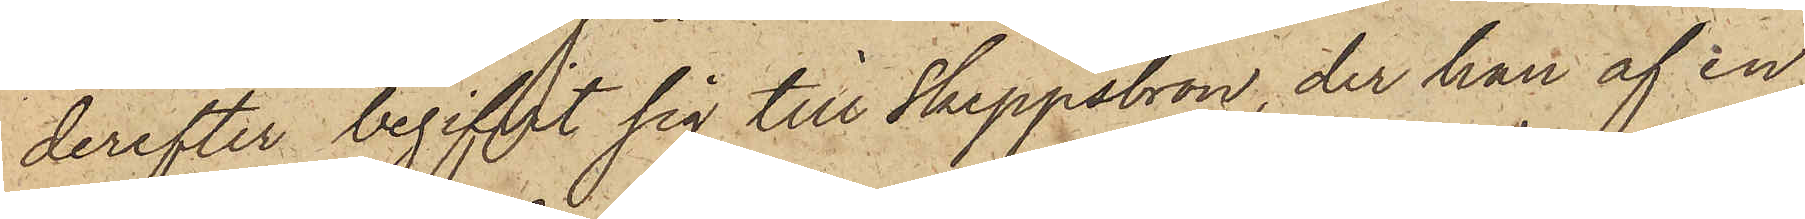derefter begifvit sig till Skeppsbron, der han af en
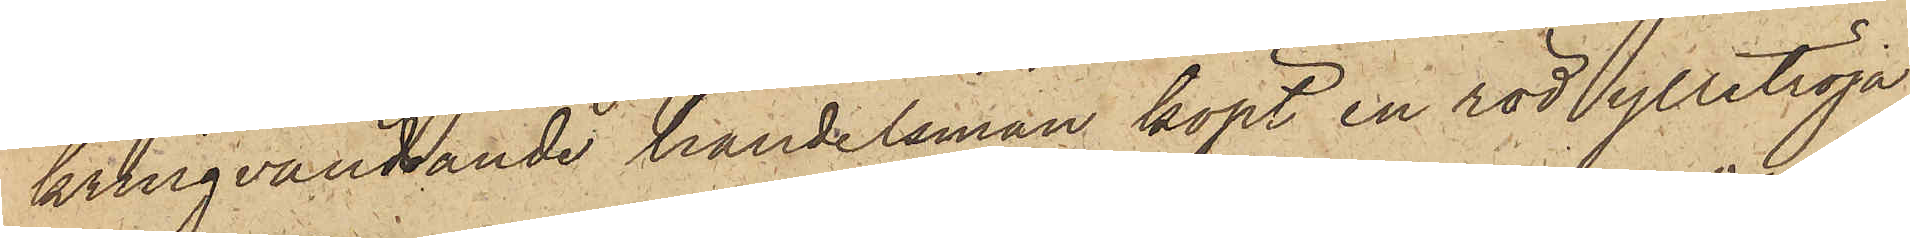kringvandrande handelsman köpt en röd ylletröja
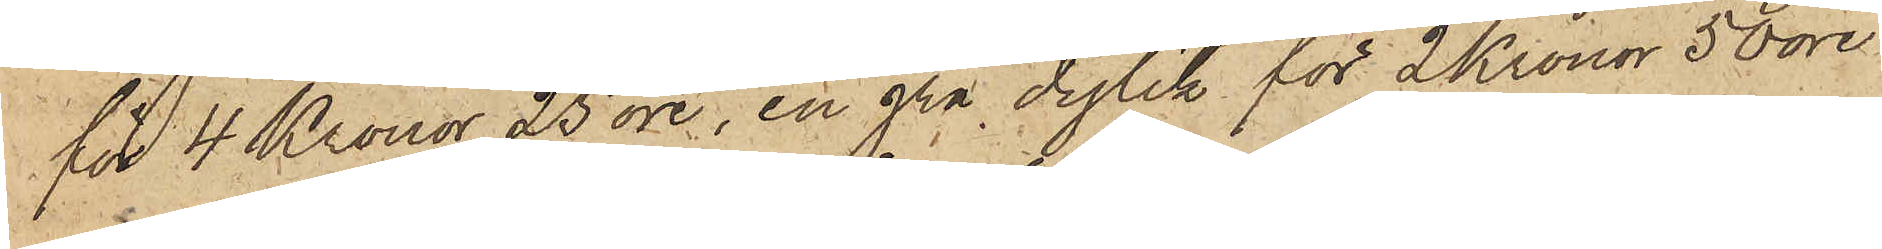för 4 Kronor 25 öre, en grå dylik för 2 Kronor 50 öre
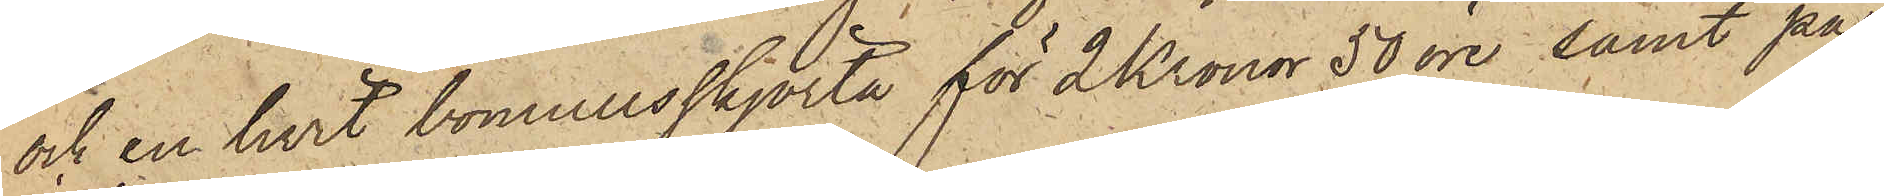och en hvit bomullsskjorta för 2 Kronor 50 öre, samt på
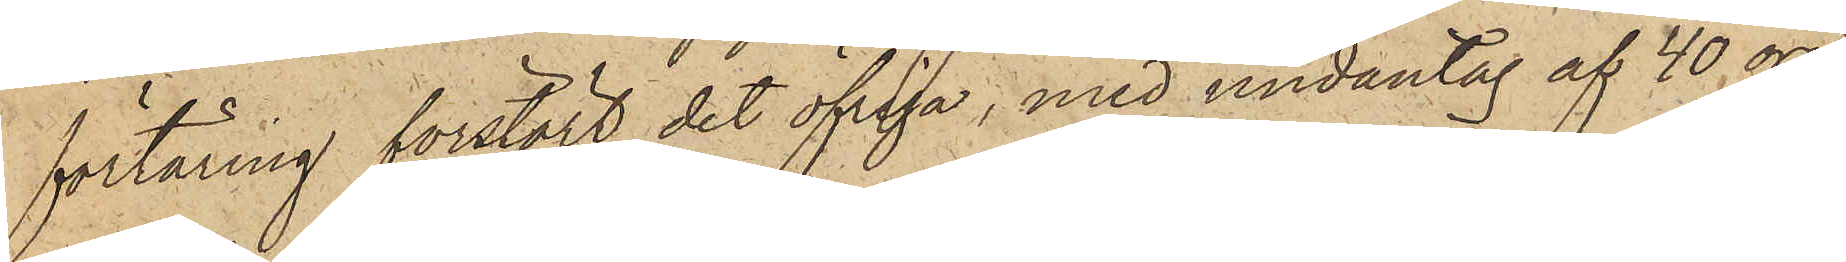förtäring förstört det öfriga, med undantag af 40 öre,
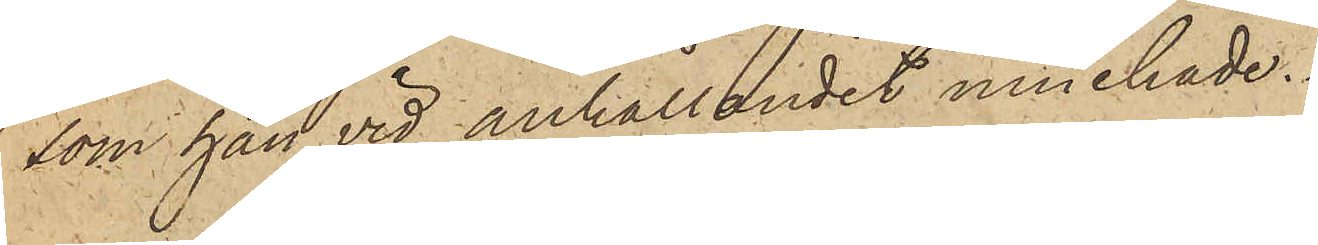som han vid anhållandet innehade.
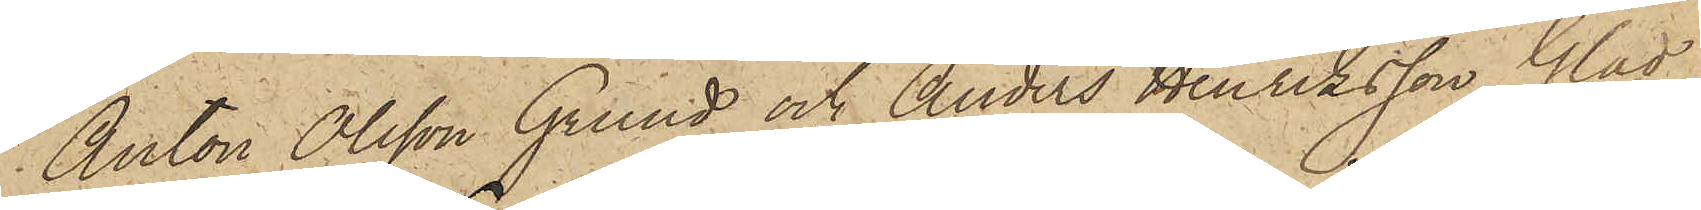Anton Olsson Grund och Anders Henriksson Glad,
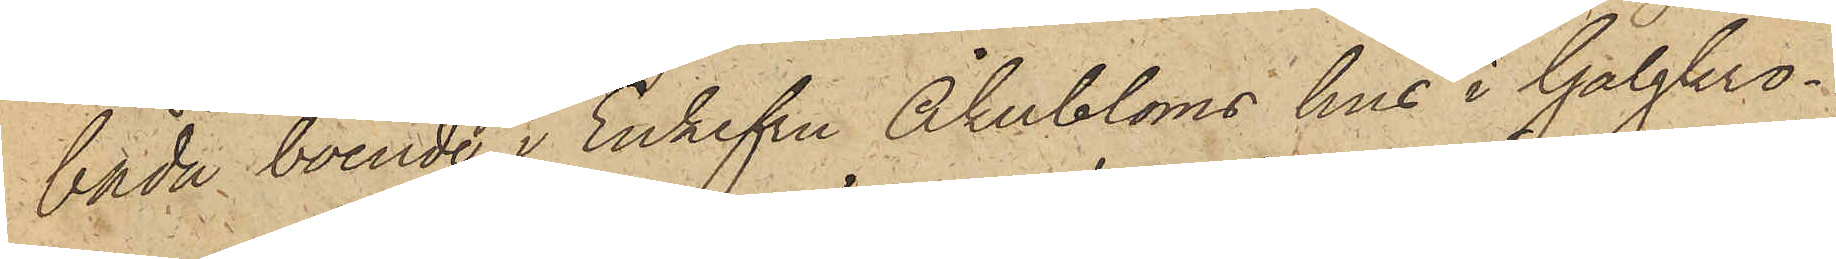båda boende i Enkefru Åkerbloms hus i Galgkro¬
